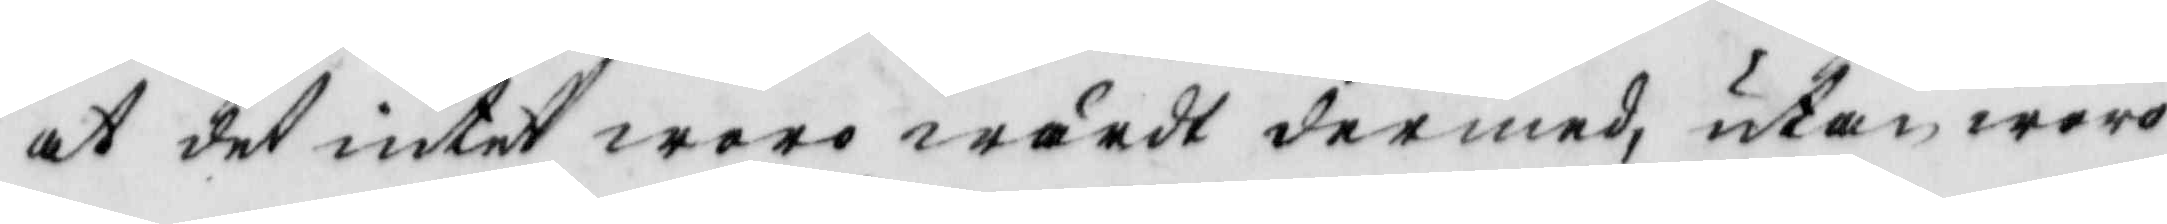at det intet woro wärdt dermed, utan woro
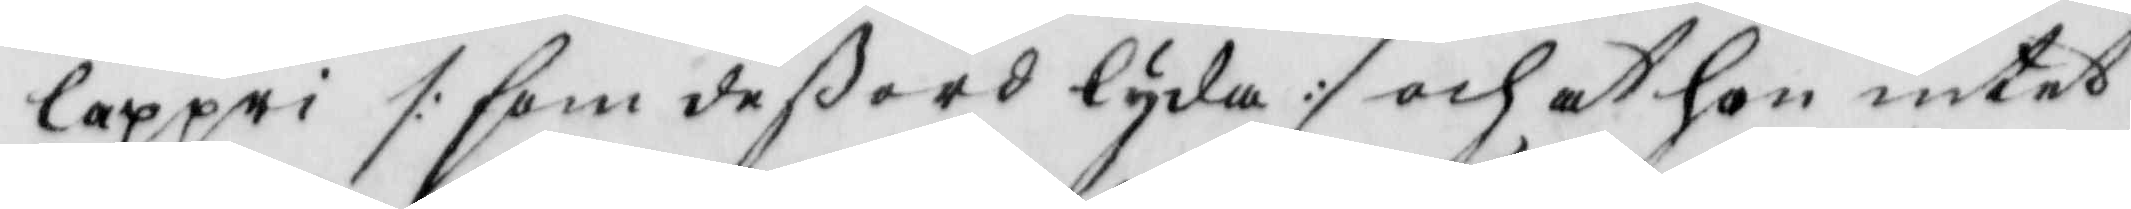lappri /: som deß ord lyda :/ och at hon intet
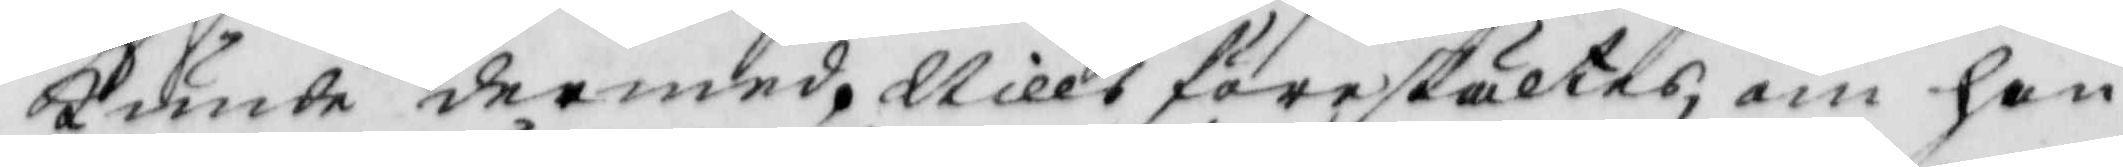kunde dermed, Nills föreställtes, om han
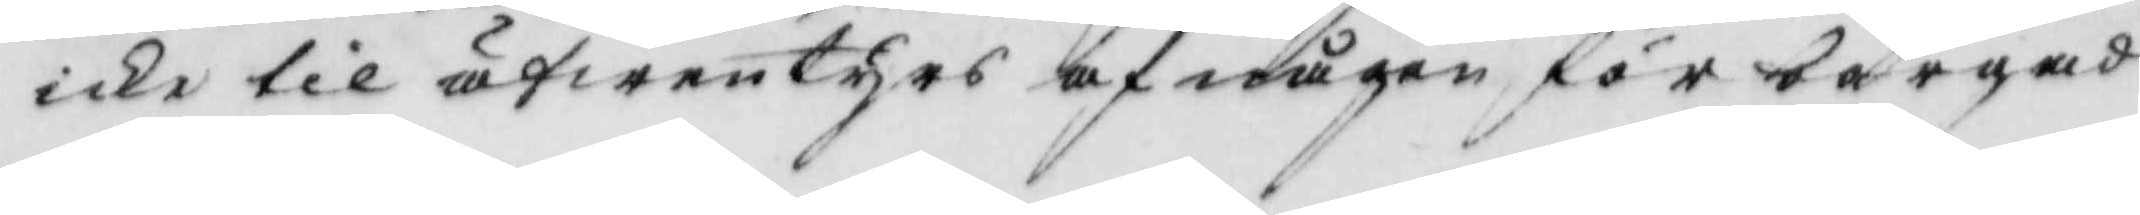icke til äfwentyrs af någon förborgad
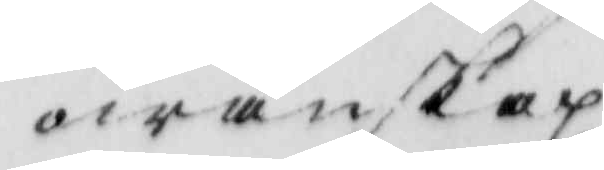owänskap
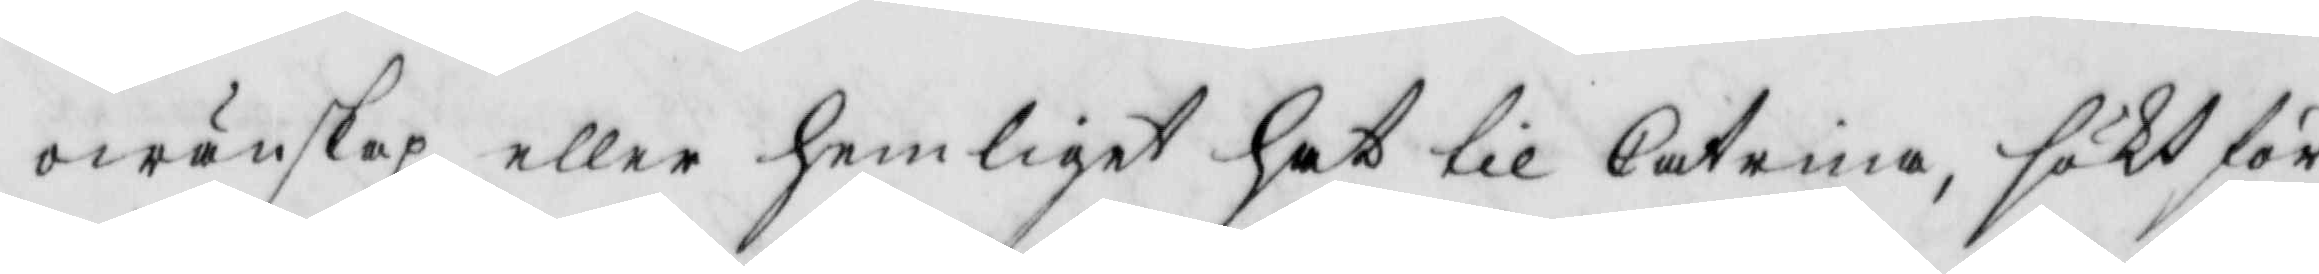owänskap eller hemligit hat til Catrina, sökt för¬
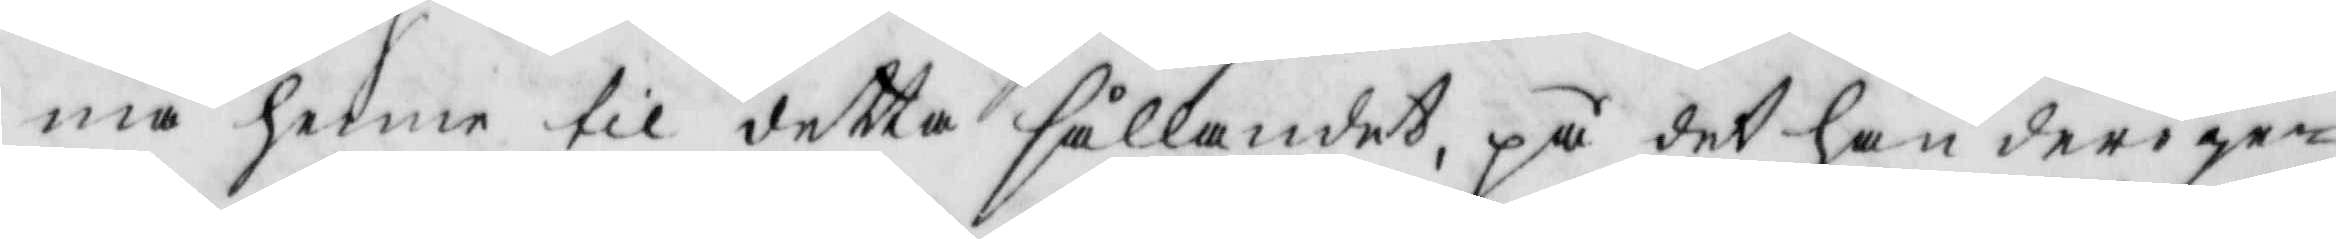må henne til detta sållandet, på det han derige¬
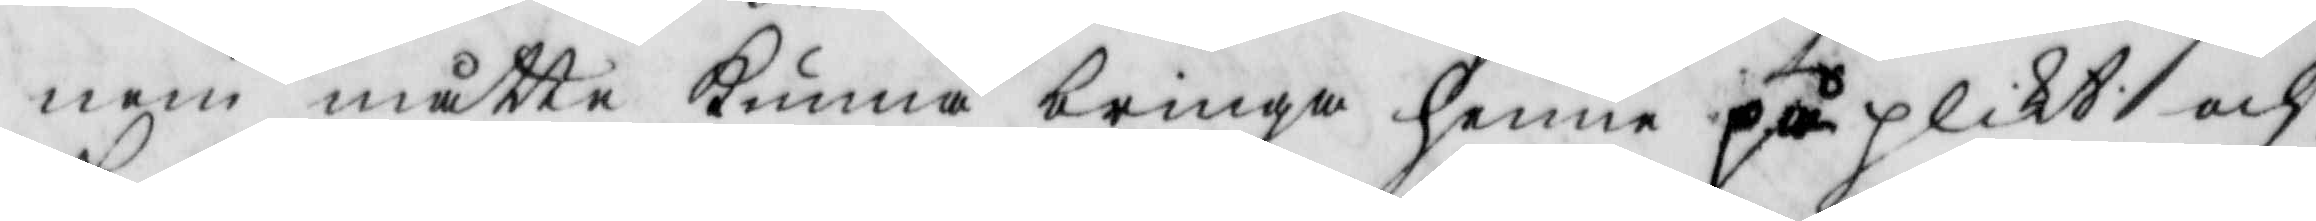nom måtte kunna bringa henne på plikt och
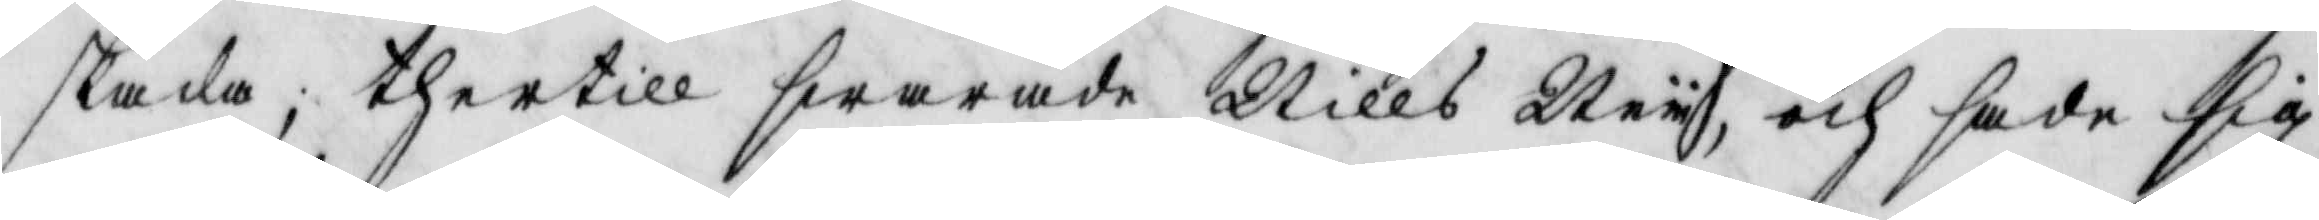skada; thertill swarade Nills Ney, och sade sig
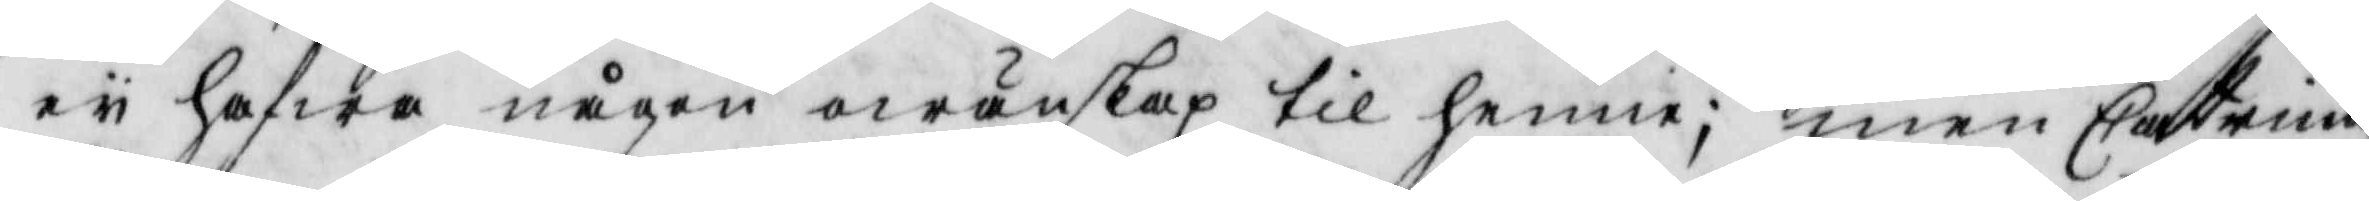ey hafwa någon owänskap til henne; men Catrina
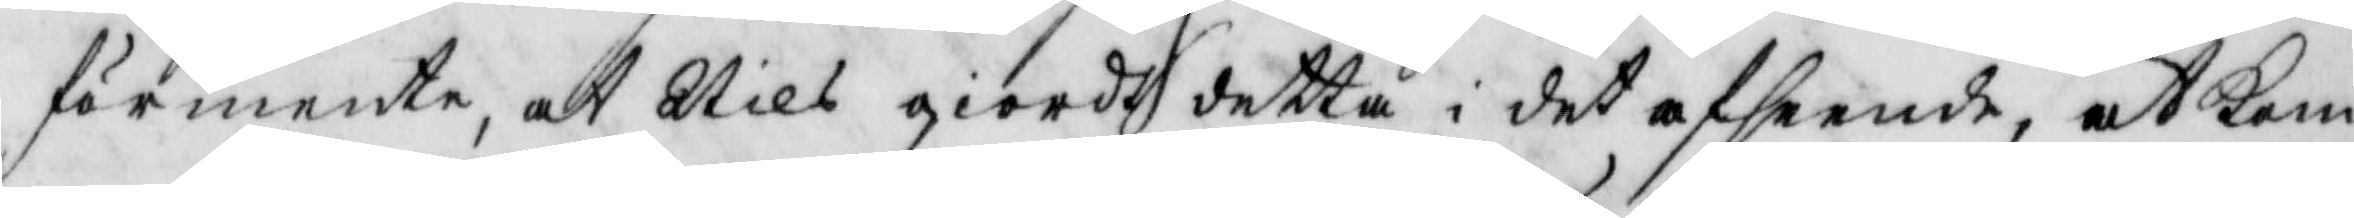förmente, at Nils giordt detta i det afseende, at kom¬
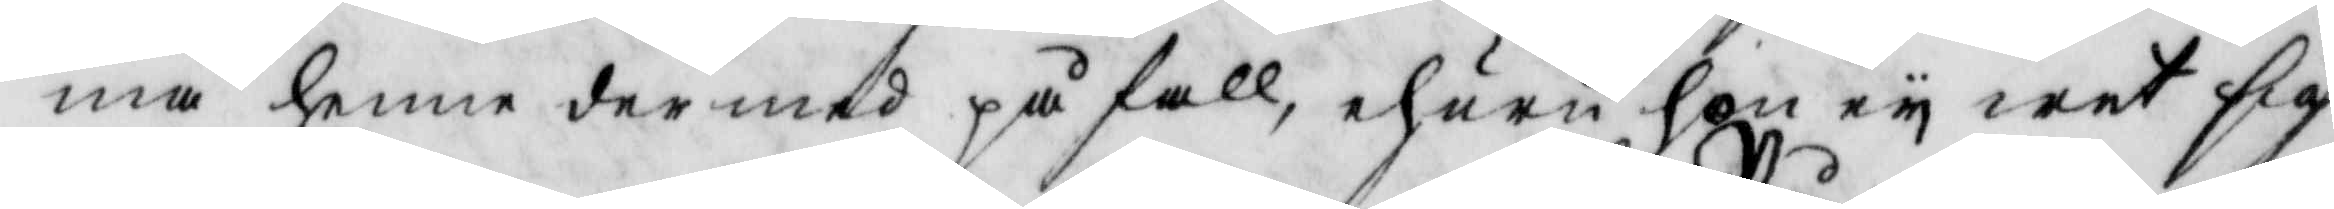ma henne dermes på fall, ehuru hon ey wet sig
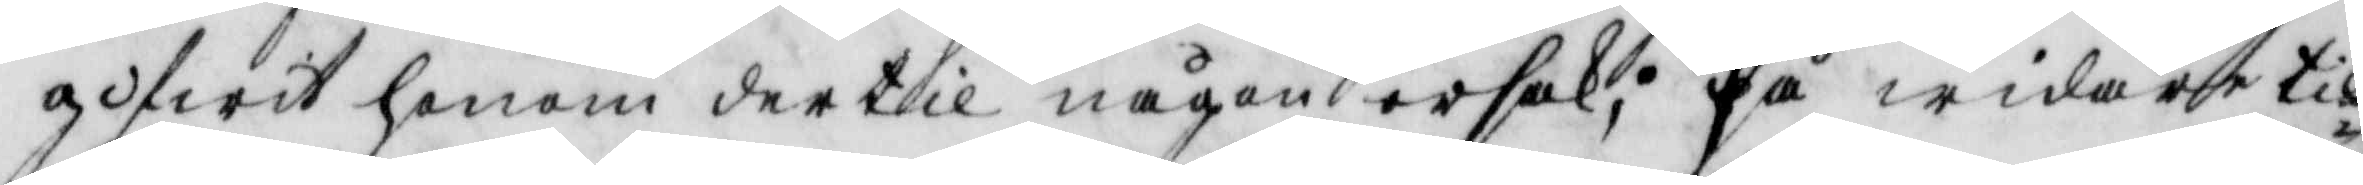gifwit honom dertil någon orsak; På widare til¬
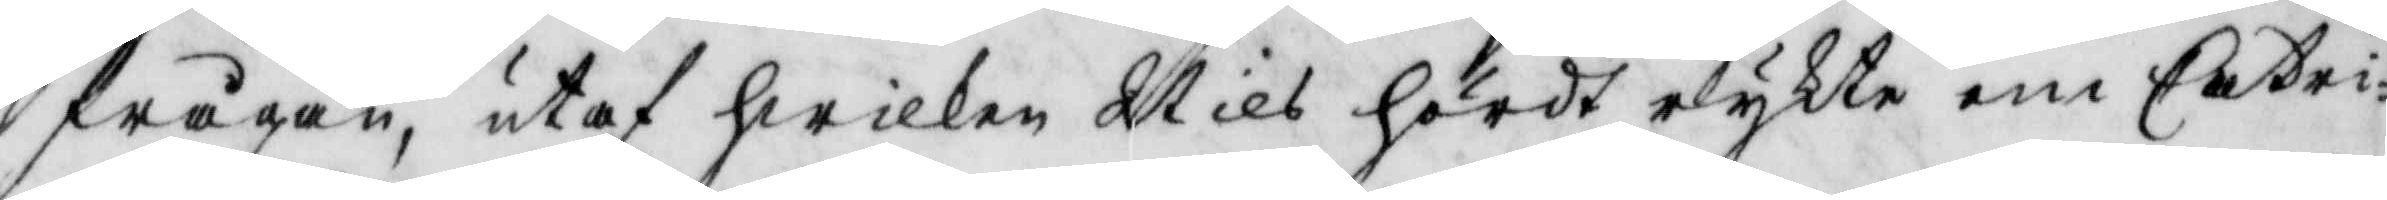frågan, utaf hwilken Nils hördt rykte om Catri¬
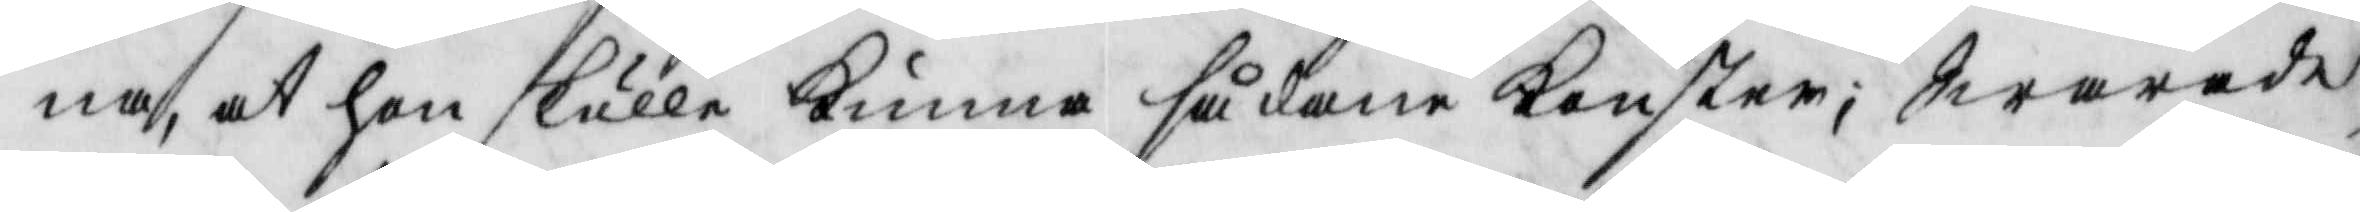na, at hon skulle kunna sådane konster; swarade
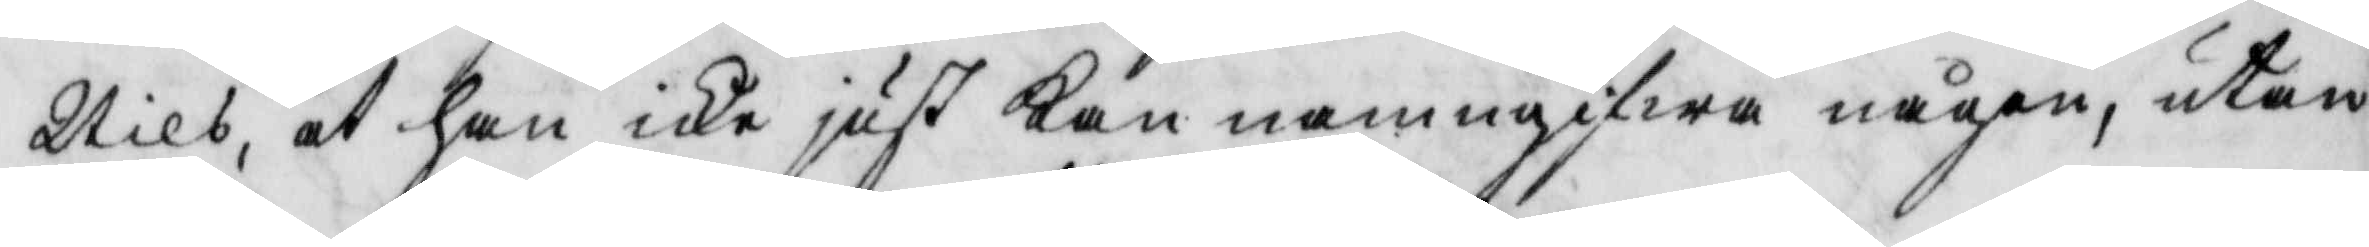Nils, at han icke just kan namngifwa någon, utan
